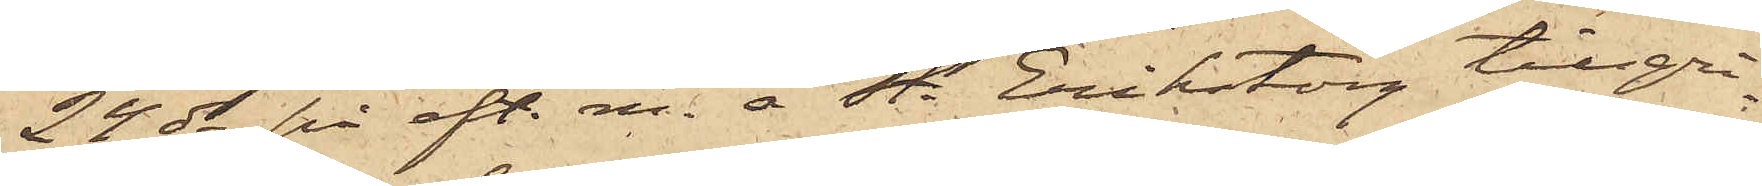24 ds på eft. m. å St. Eriks torg tillgri¬
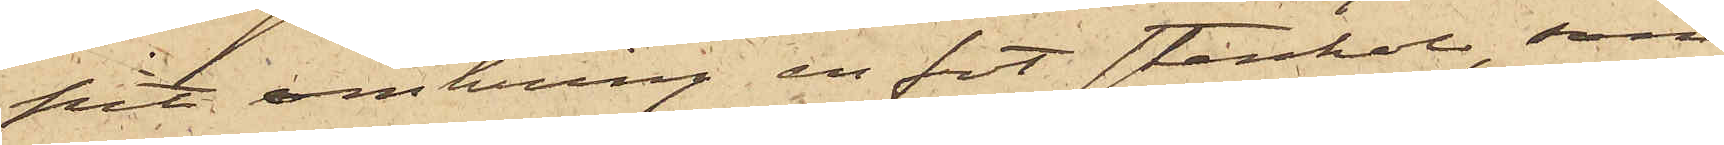pit omkring en fot stenkol, som
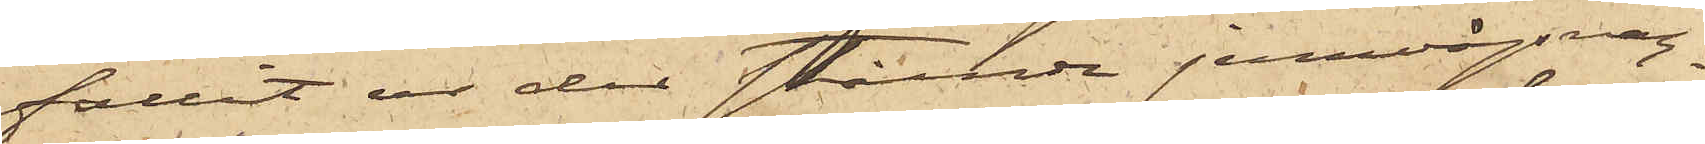fallit ur der stående jernvägsvagnar
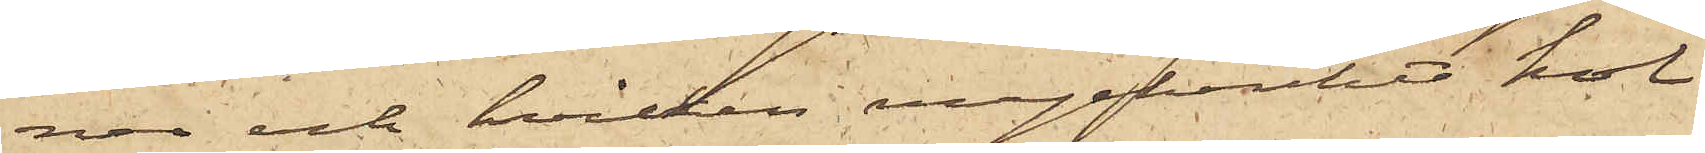ner och hvilken myckenhet kol
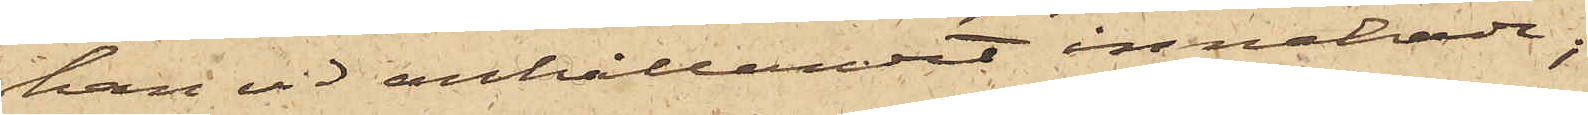han vid anhållandet innehade;
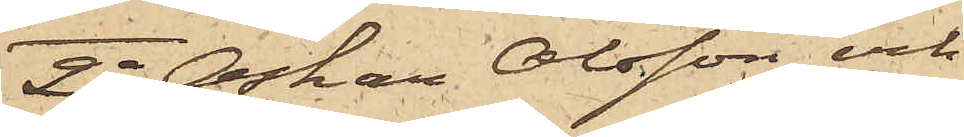2o Oskar Olsson och
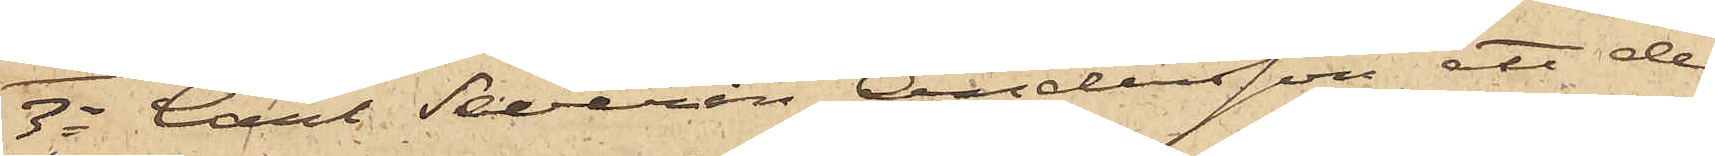3o Carl Severin Andersson, att de
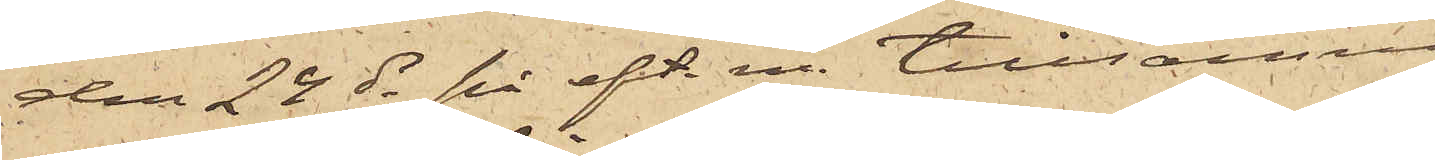den 24 ds på eft. m. tillsammans
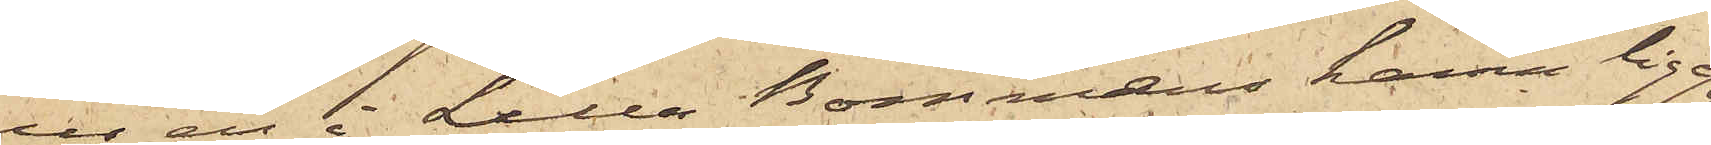ur en i Lilla Bommens hamn liggan¬
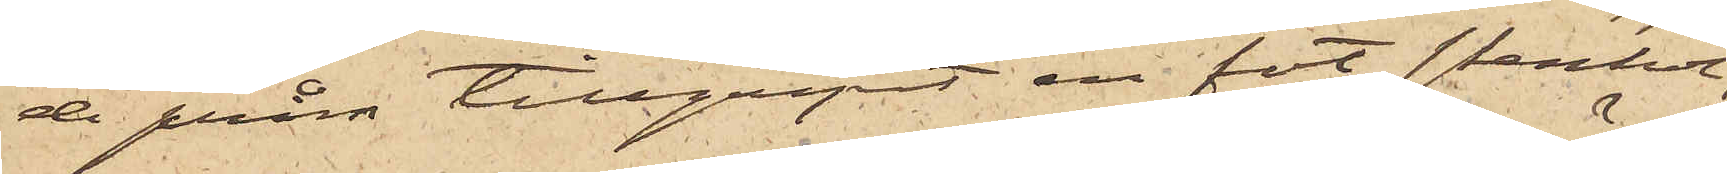de pråm tillgripit en fot stenkol,
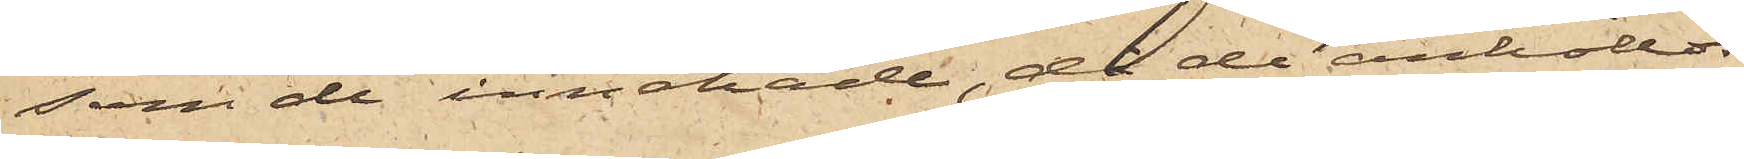som de innehade, då de anhöllos;
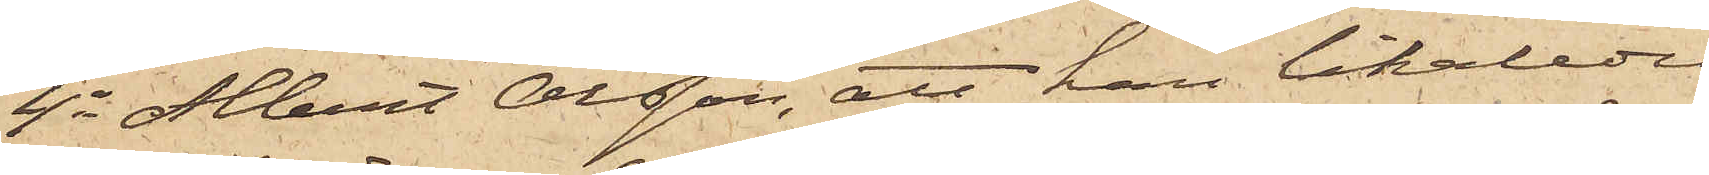4o Albert Olsson, att han likaledes
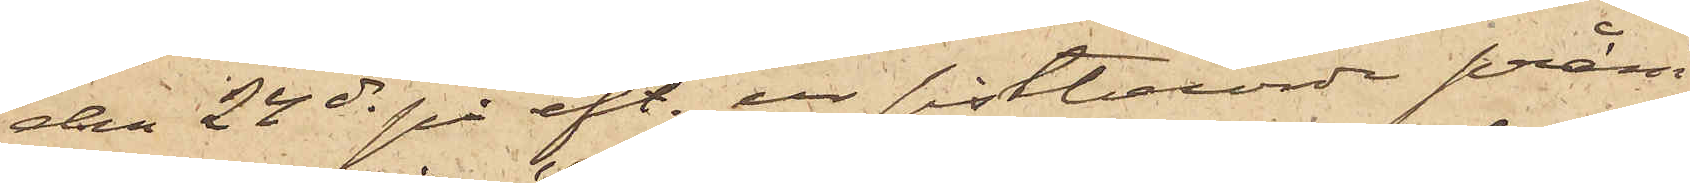den 24 ds på aft. ur sistberörde pråm
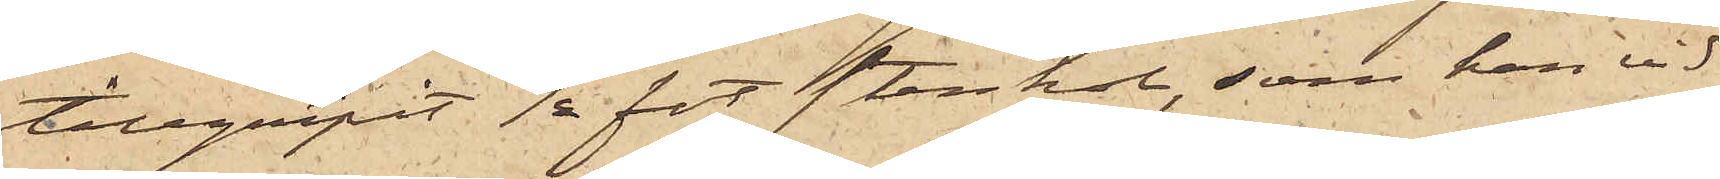tillgripit ½ fot stenkol, som han vid
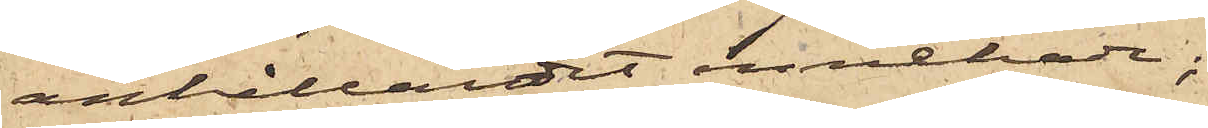anhållandet innehade;
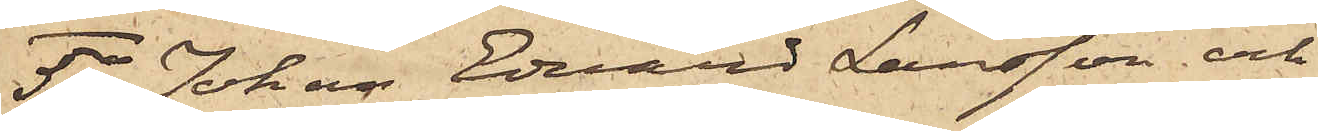5o Johan Edvard Larsson och
